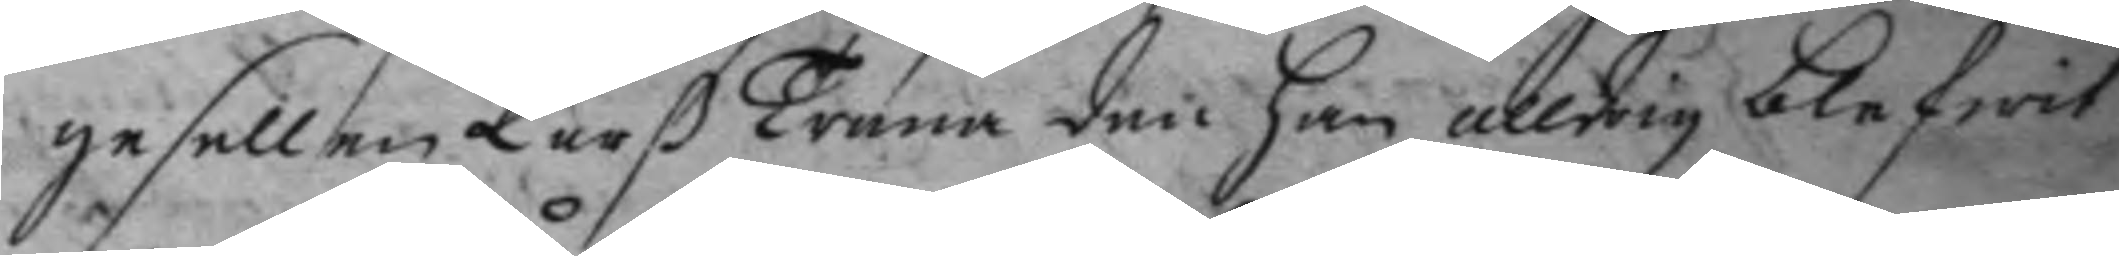gesellen Larß Trana den han alldrig blefwit
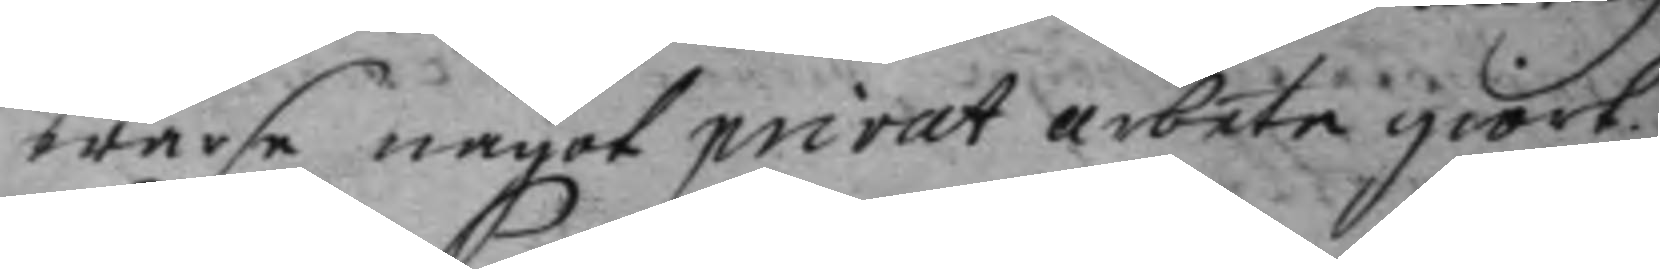warse något privat arbete giort.
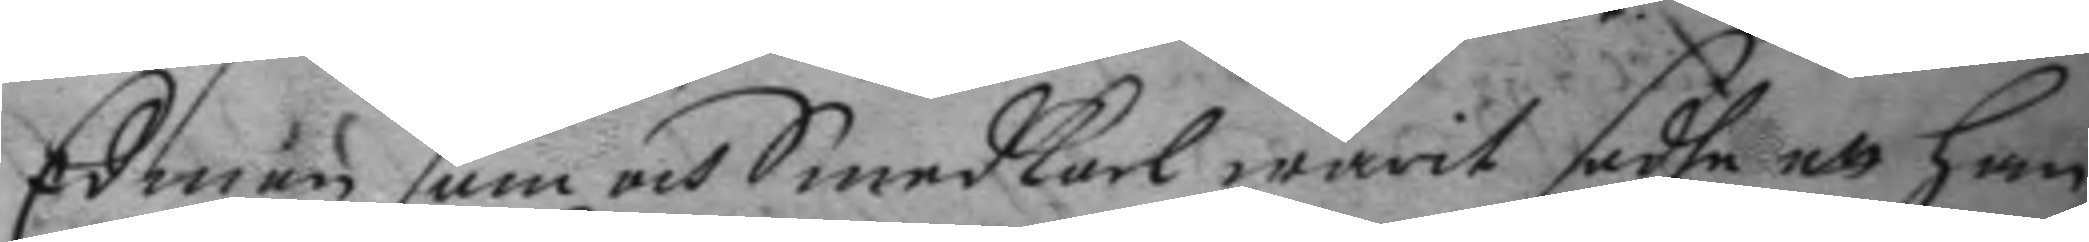Edman som och Smedkarl warit sadhe att han
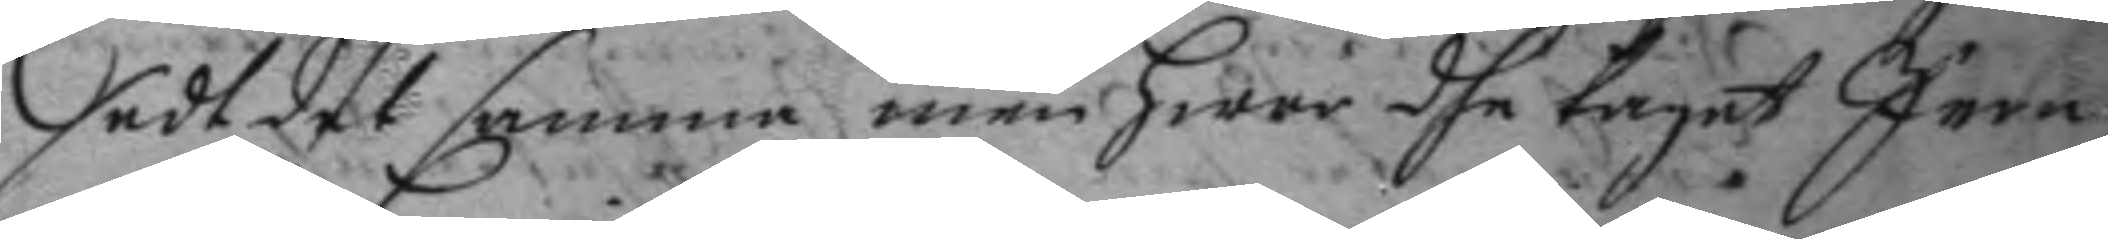sedt det samma men hwar dhe taget Jern
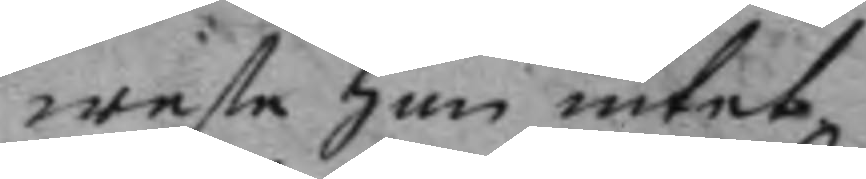weste han intet.
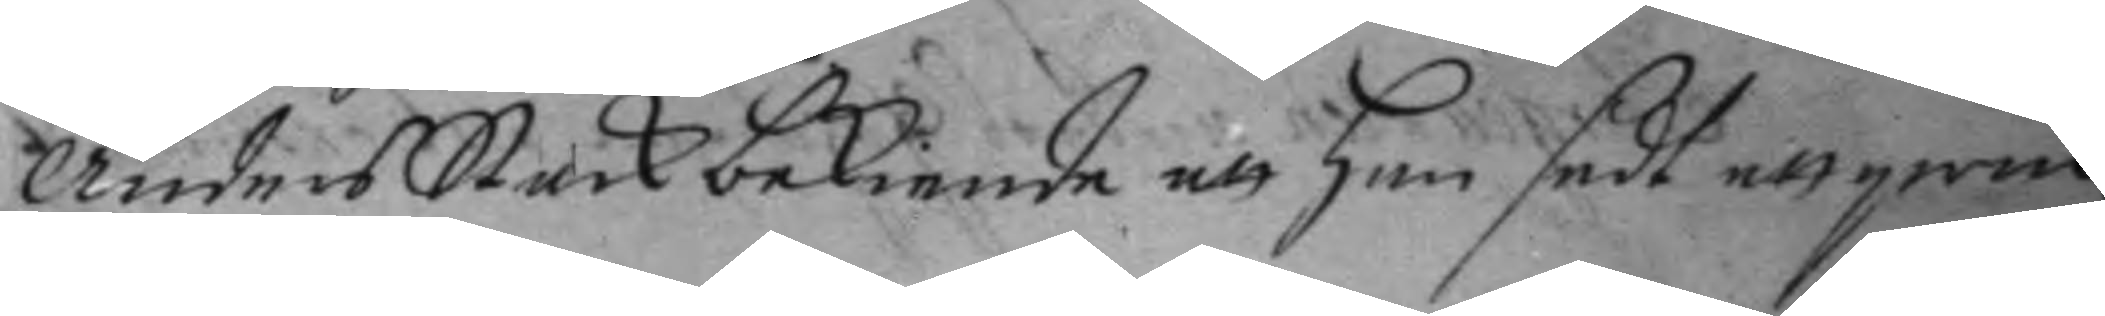anders Stark bekiende att han sedt ett qwin¬
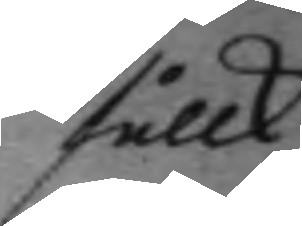fållk
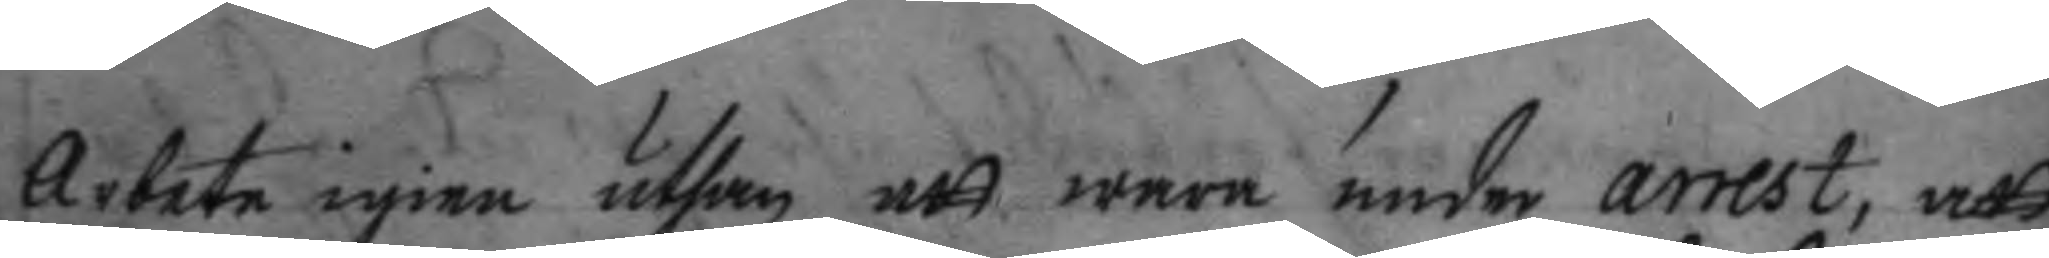Arbete igien utahn att wara under arrest, att
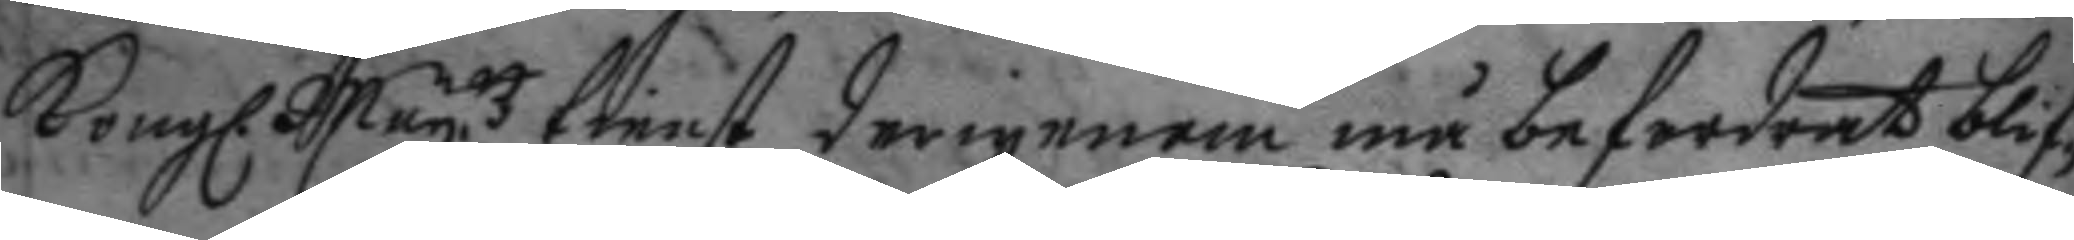Kongl. May.ttz tienst derigenom må befordras blif¬
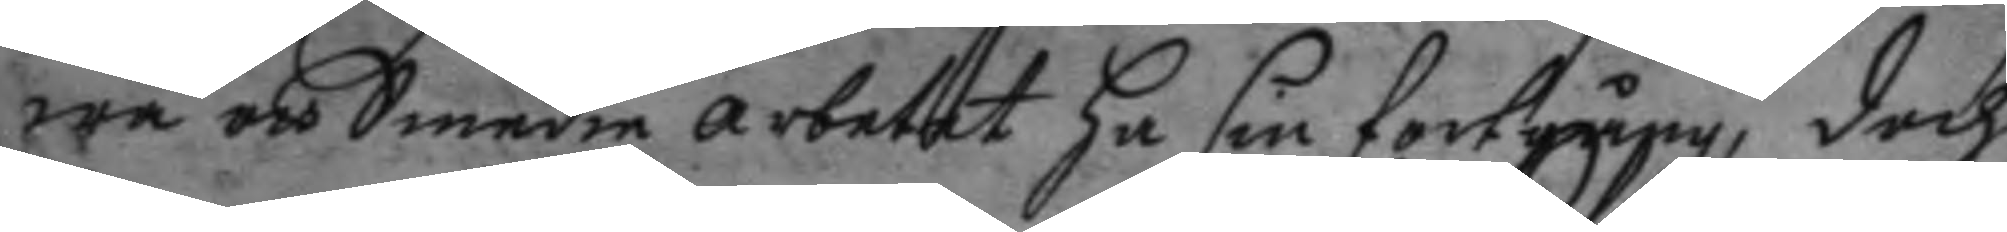wa och Smedie arbetet ha sin fortgång, doch
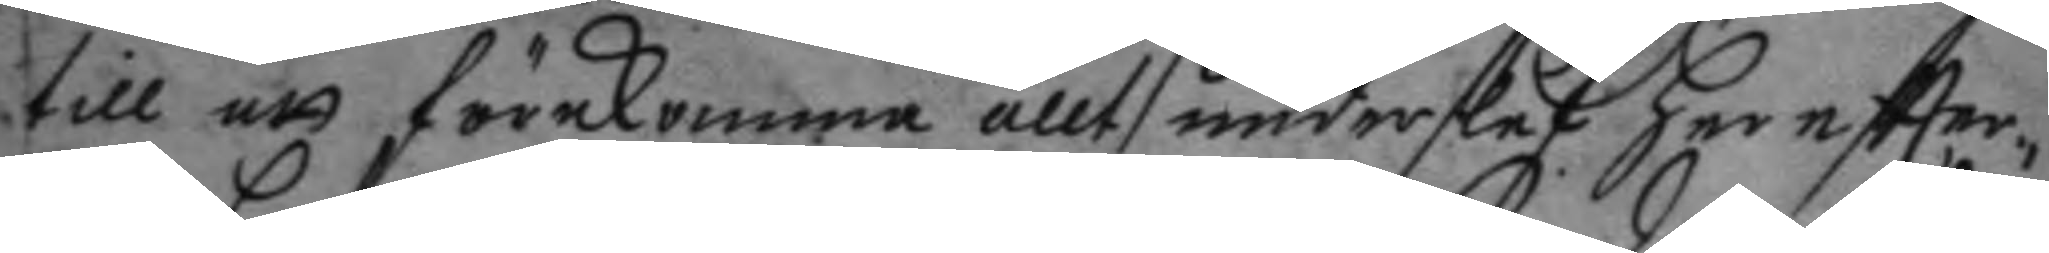till att förekomma allt underslef har eftter¬
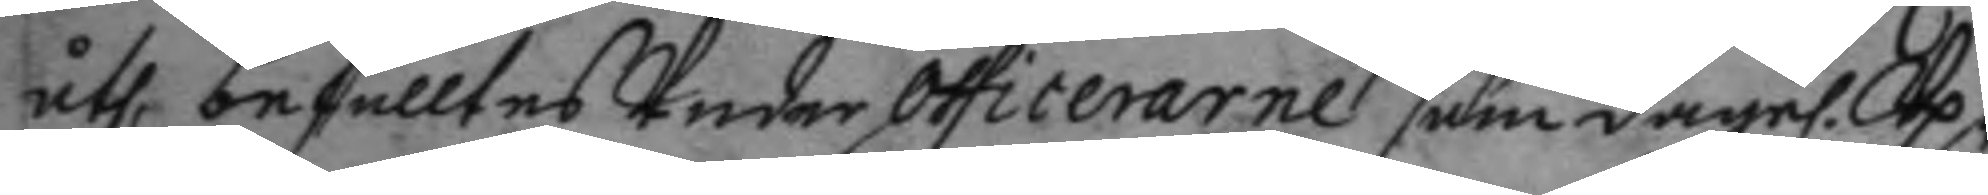åth, befalltes Under officerarne som dagel. Up¬
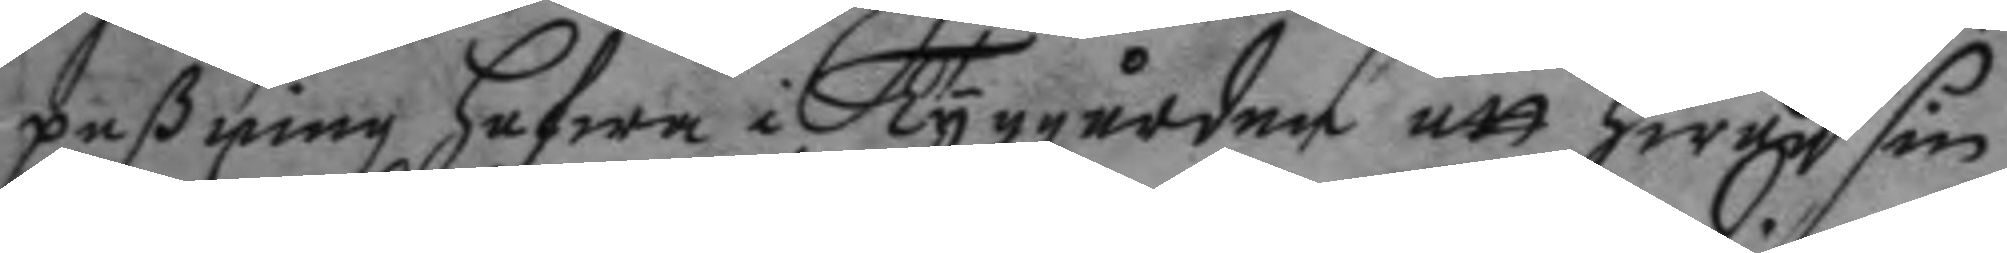paßning hafwa i Tyggården att hwar sin
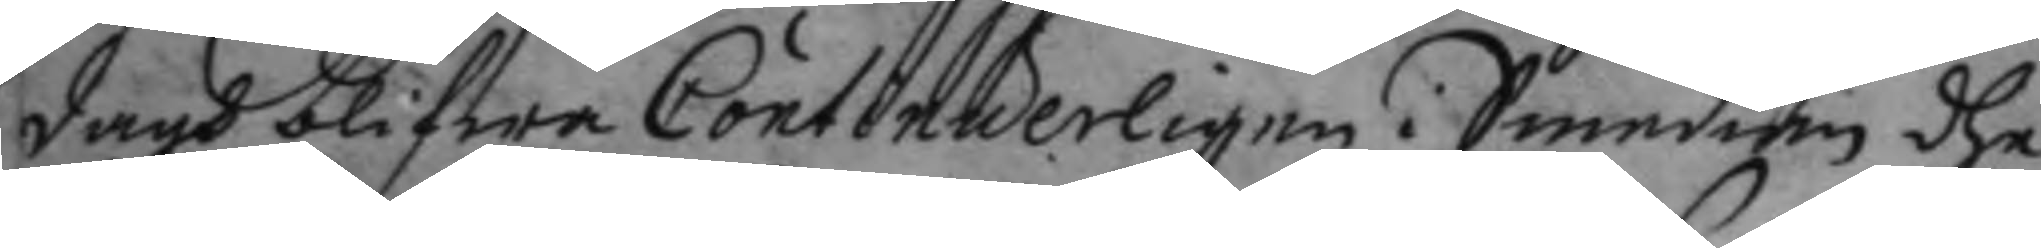dagh blifwa Contenuerligen i Smedian dhe
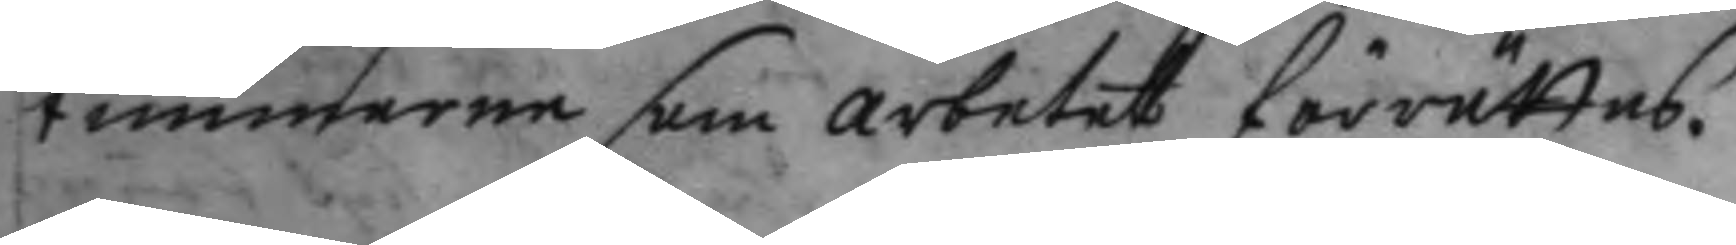 timmerne som arbetet förrättas.
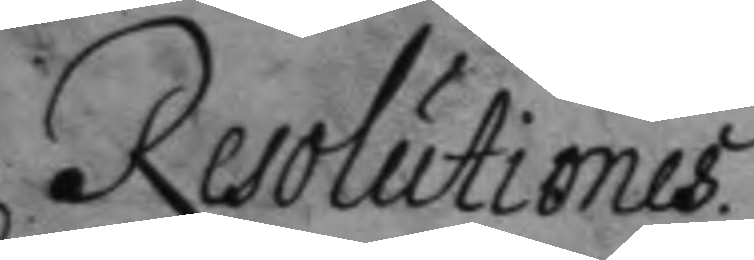Resolutiones.
